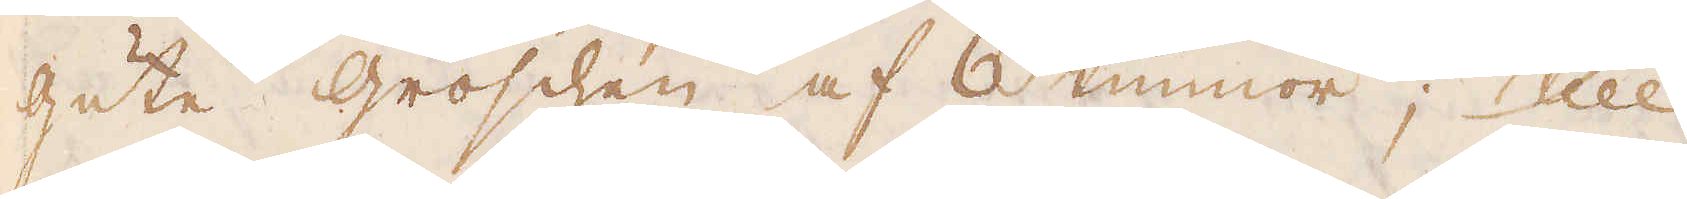gute groschen af 6 tunnor; till
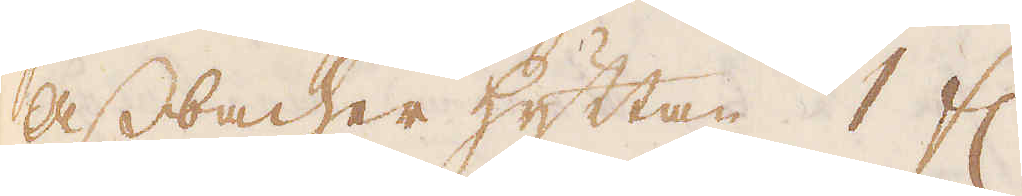Assbacher hyttan 1 fl.
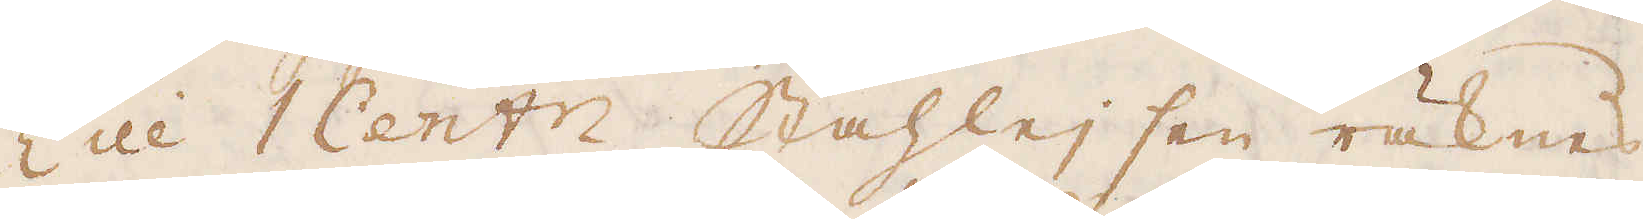Till 1 Cent Stahleisen räknas
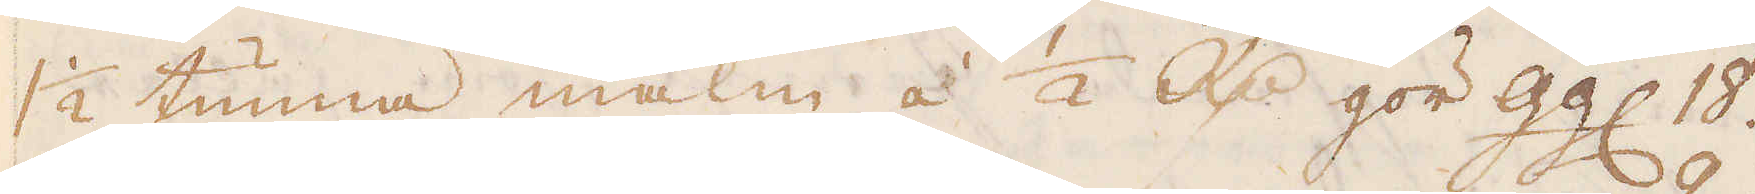1 1/2 tunna malm à 1/2 R:dr gör Ggl. 18.
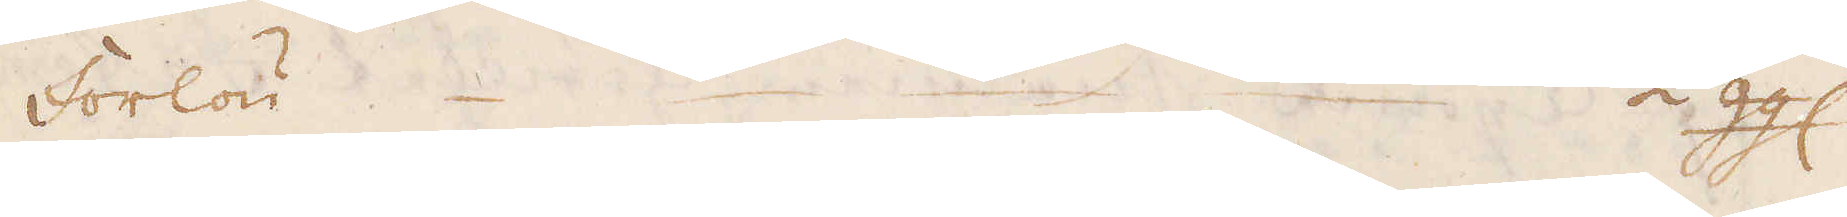Forlön. 1/2 Ggl.
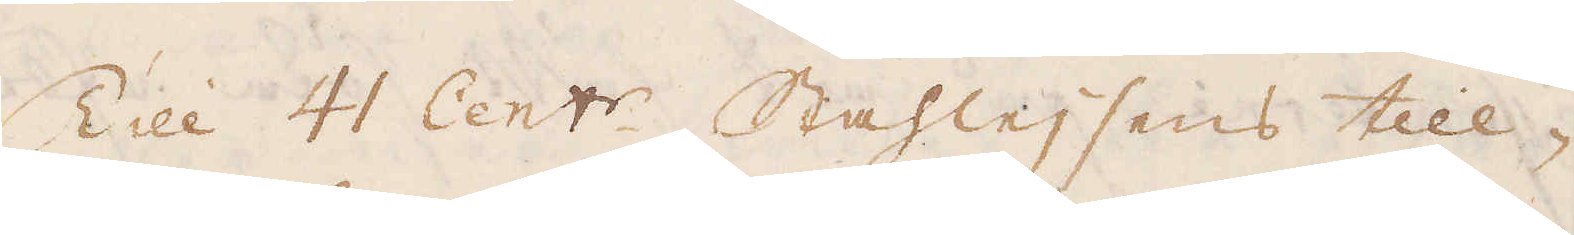Till 41 Cent:r. Stahleisens till-
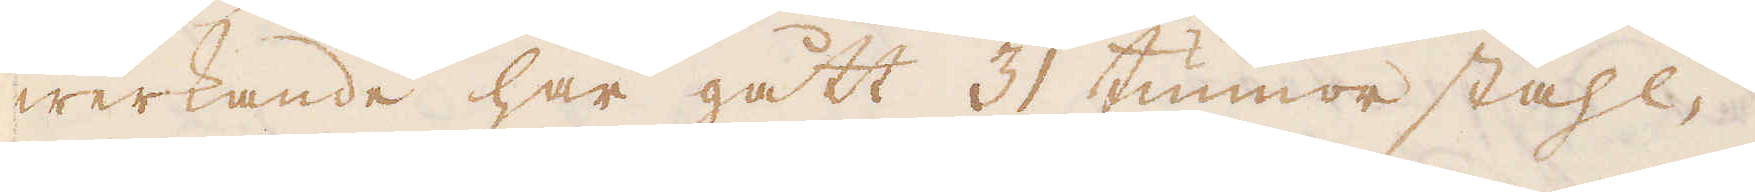werkande har gått 31 tunnor stahl-
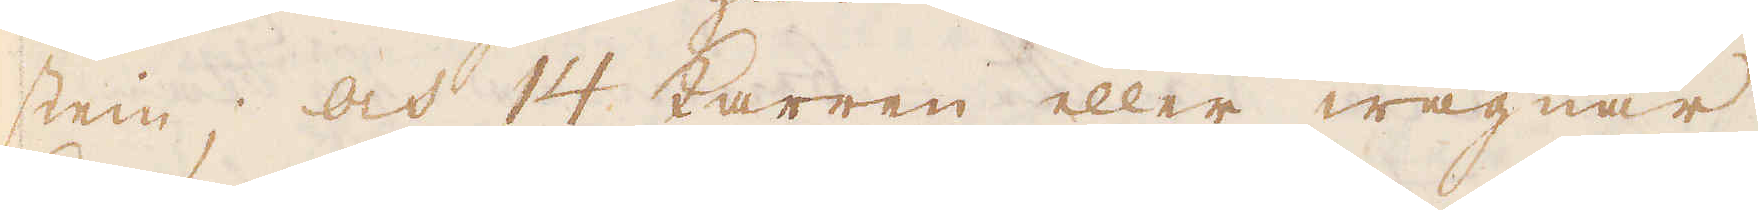stein; och 14 Karren eller wagnar,
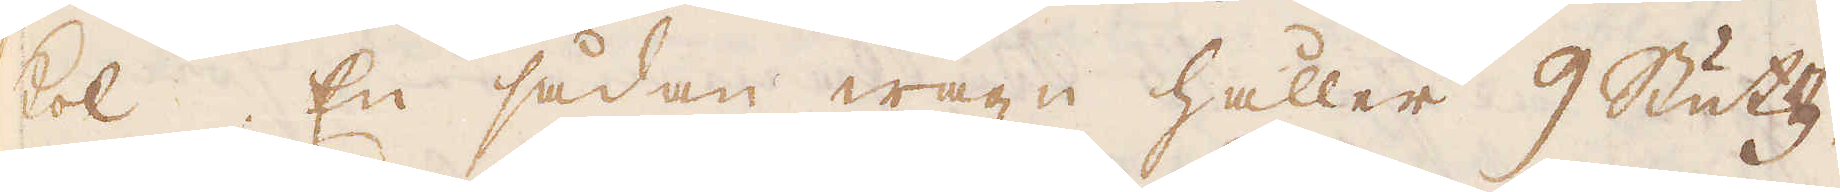kol, En sådan wagn håller 9 Stutz.
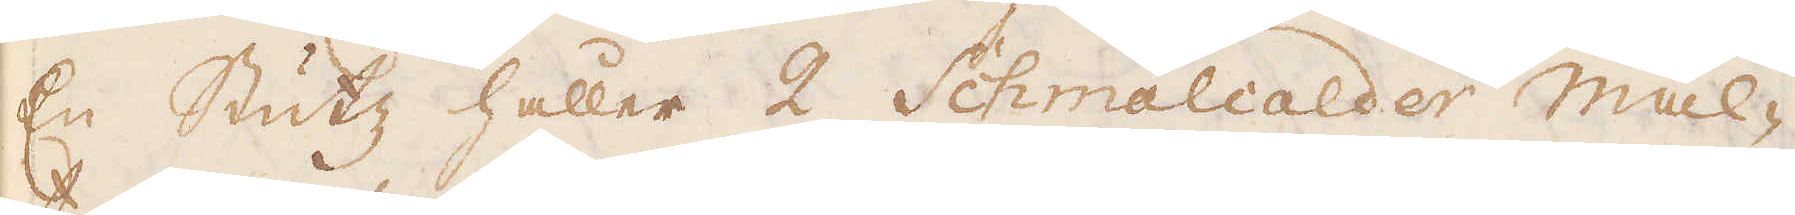En Stutz håller 2 Schmalcalder mal-
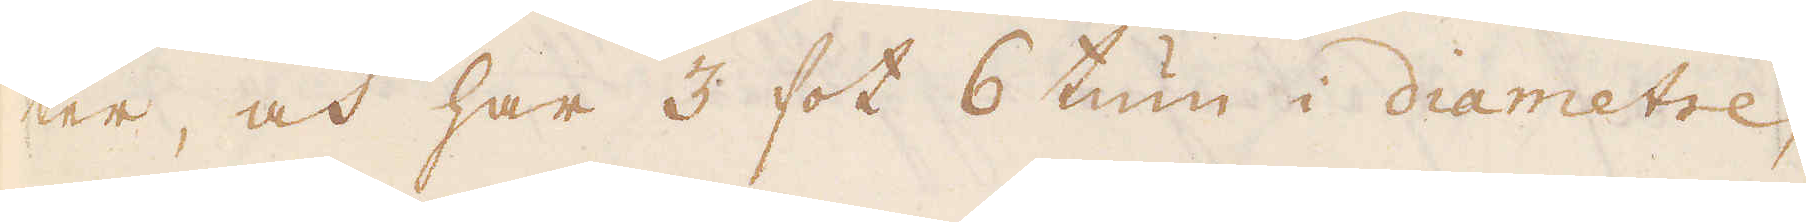ter, och har 3 fot 6 tum i diametre,
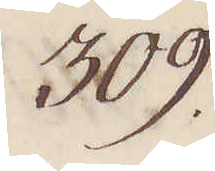309.
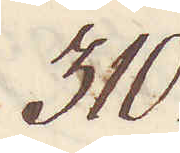310.
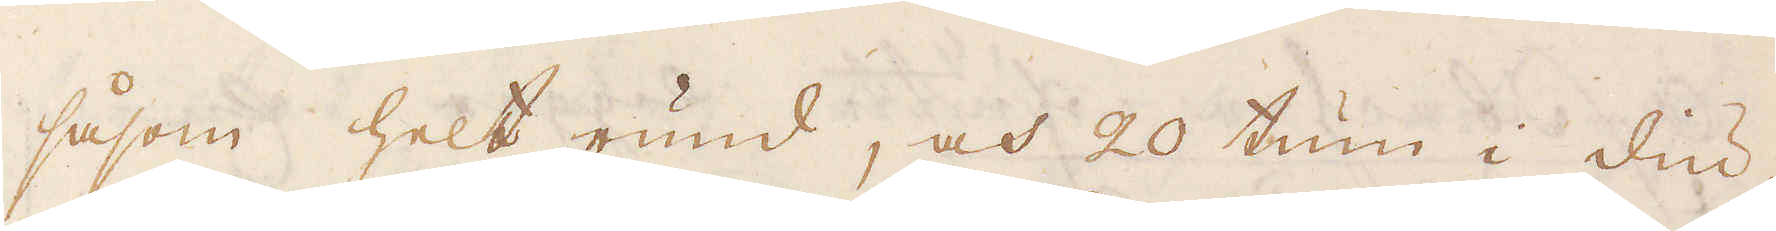såsom helt rund, och 20 tum i diu-
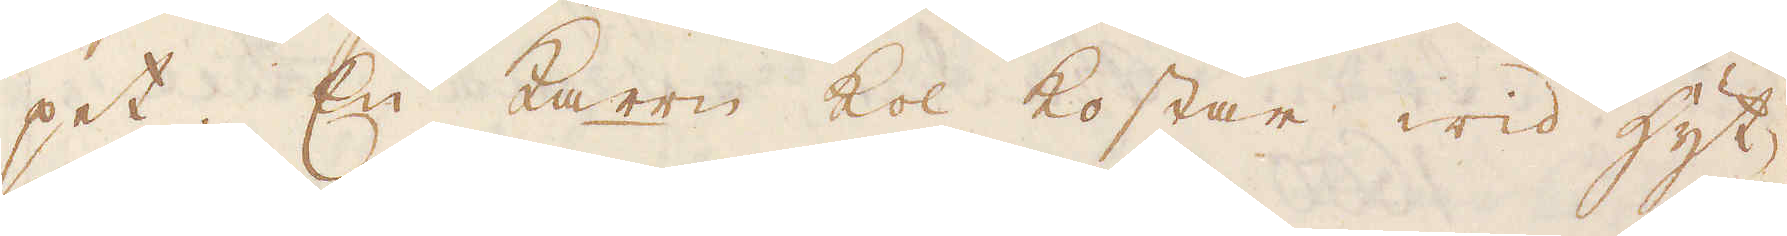pet; En Karre kol kostar wid hytt,
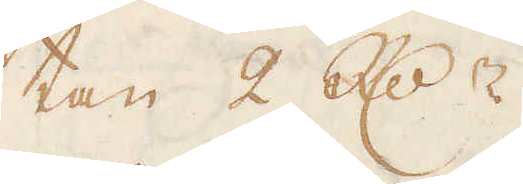tan 2 R:dr.
